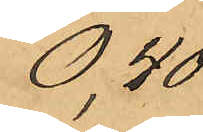             " två askar skobesparare   " 0,40           
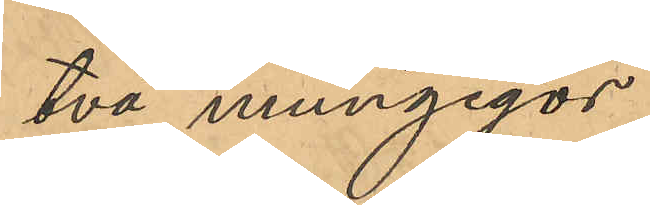                 " två mungigor                " 1,80                
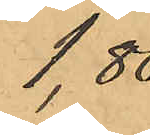                 " två mungigor                " 1,80                
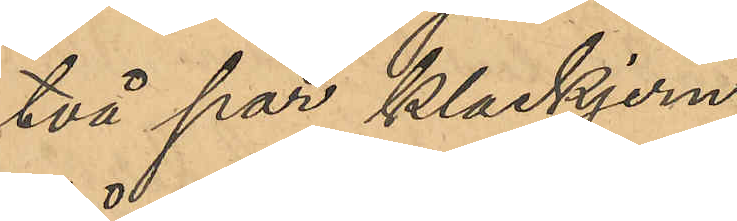        "två par klackjern            " 0,14        
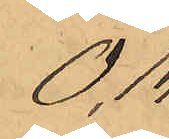        "två par klackjern            " 0,14        
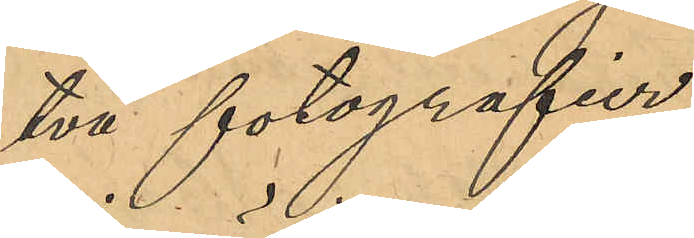       "två fotografier                "0,20        
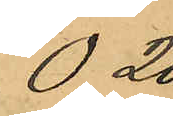       "två fotografier                "0,20        
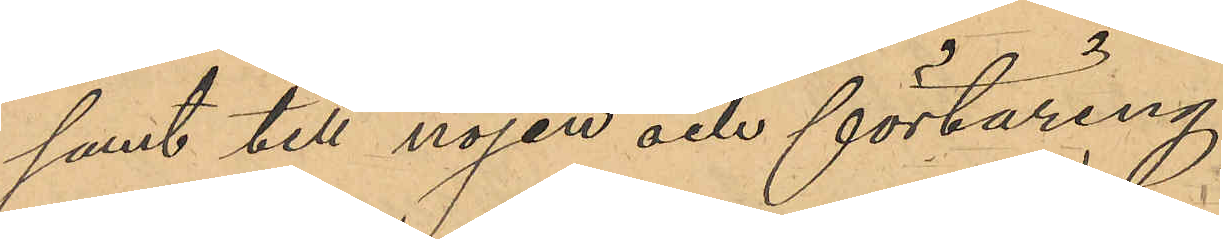         samt till nöjen och förtäring    " 9,13                  
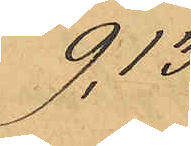         samt till nöjen och förtäring    " 9,13                  
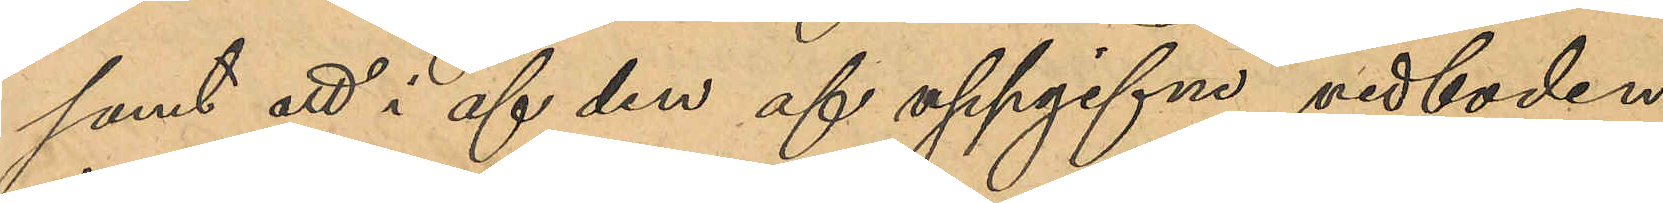samt att i af den af uppgifne vedboden
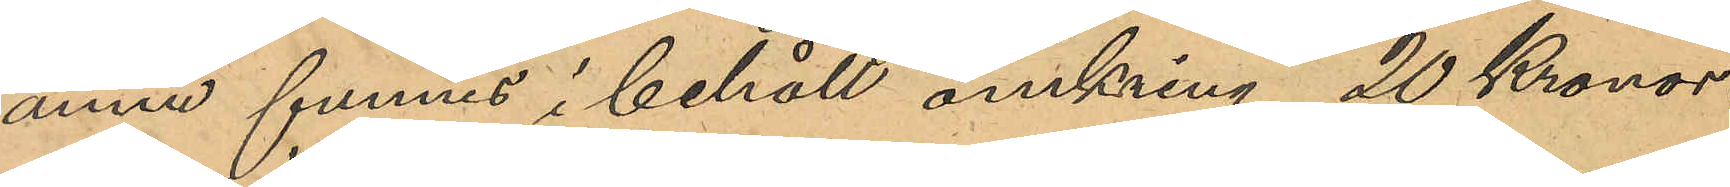ännu funnes i behåll omkring 20 Kronor.
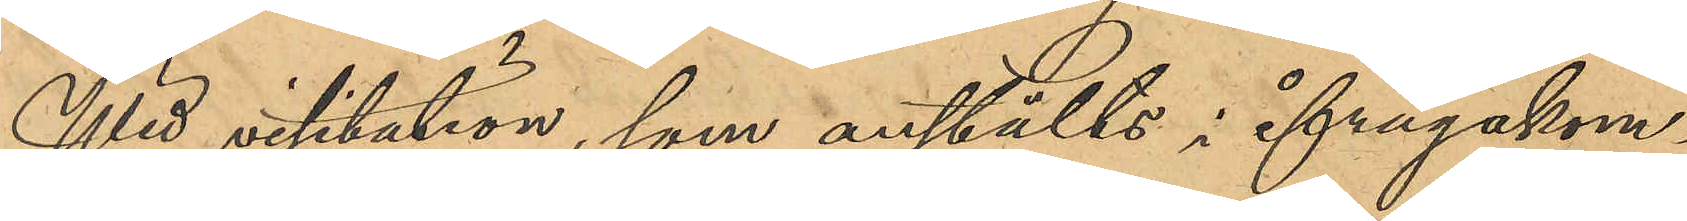Wid visitation, som anstälts i ifrågakom¬
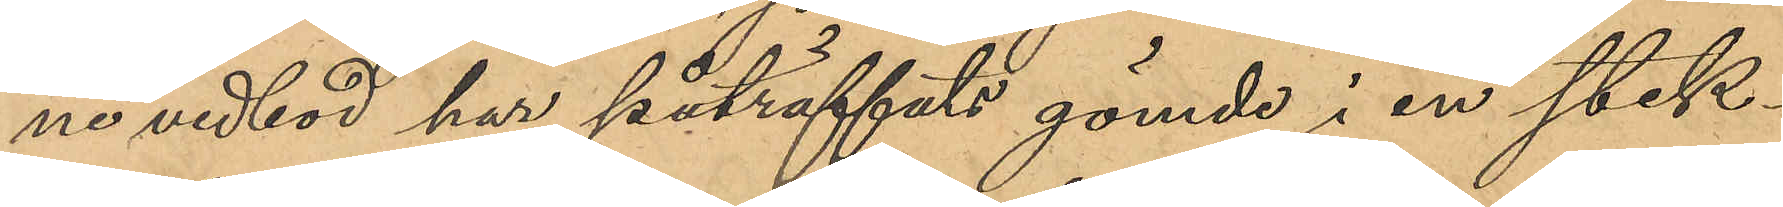ne vedbod ha påträffats gömde i en stek¬
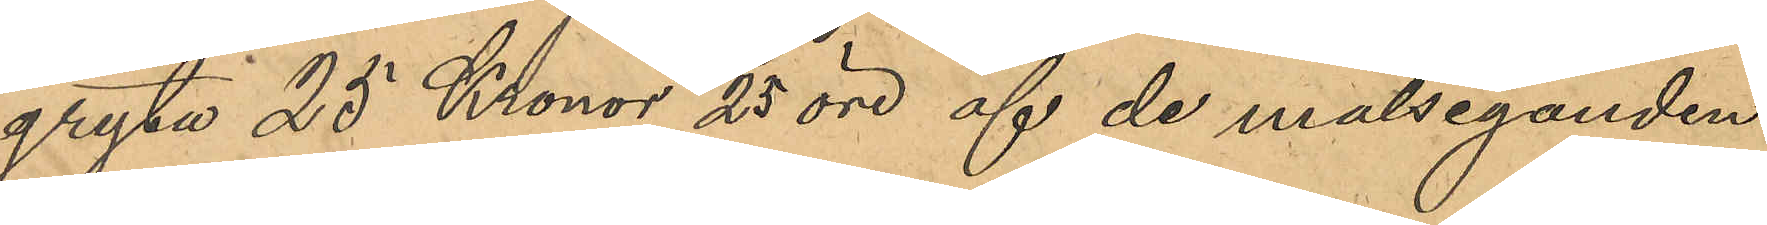gryta 25 Kronor 25 öre af de målseganden
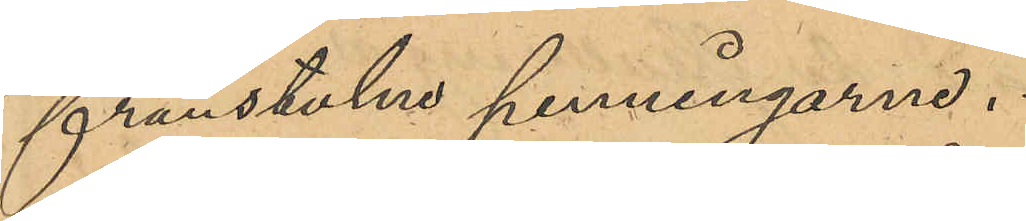frånstulne penningarne.
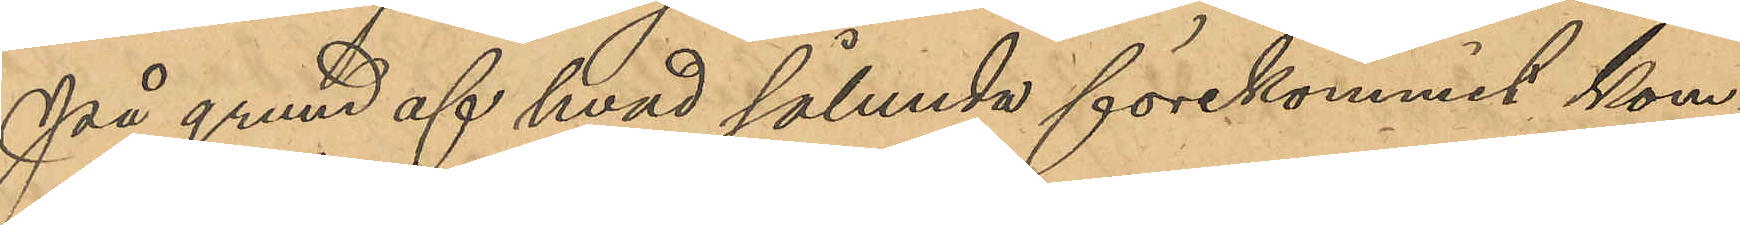På grund af hvad sålunda förekommit kom¬
